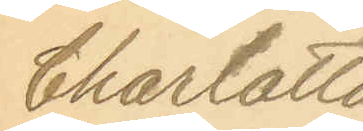Charlotta
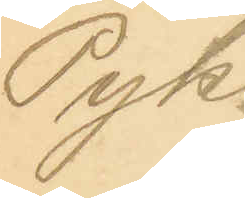Pyk.
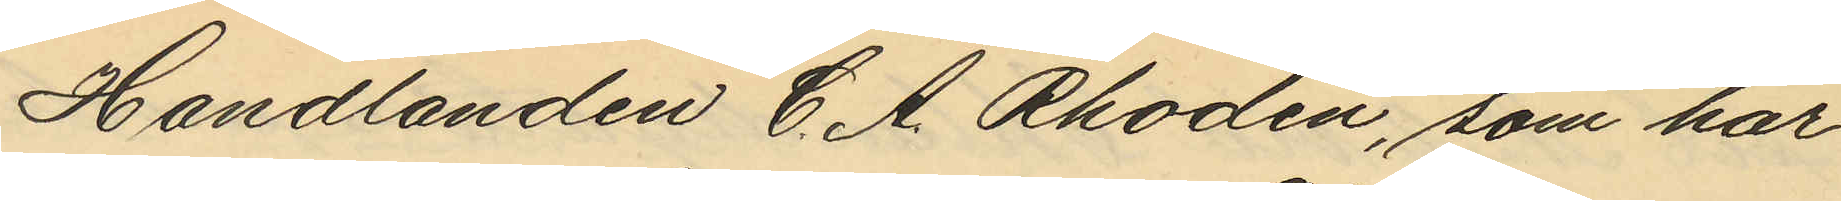Handlanden C. A. Rhodin, som har
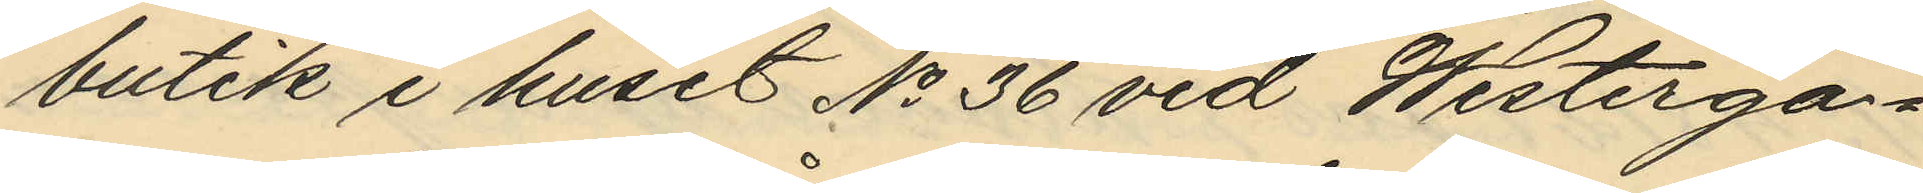butik i huset No 36 vid Westergar¬
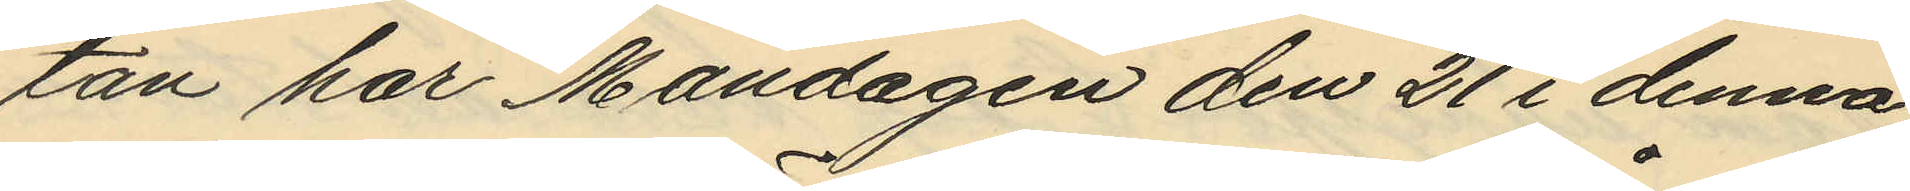tan har Måndagen den 21 i denna
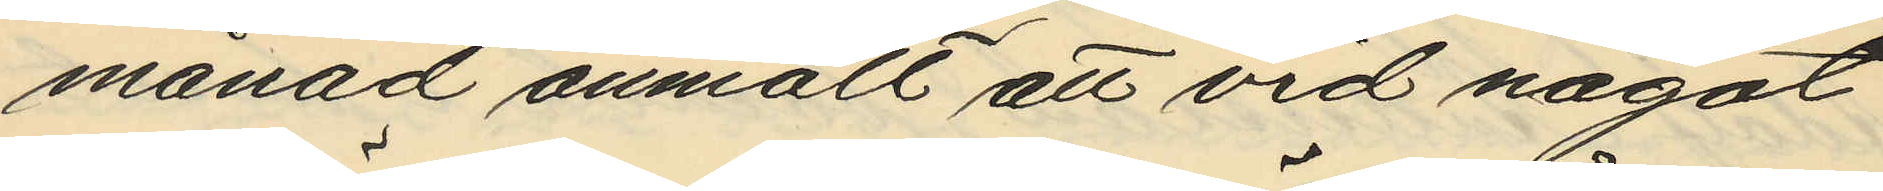månad anmält att vid något
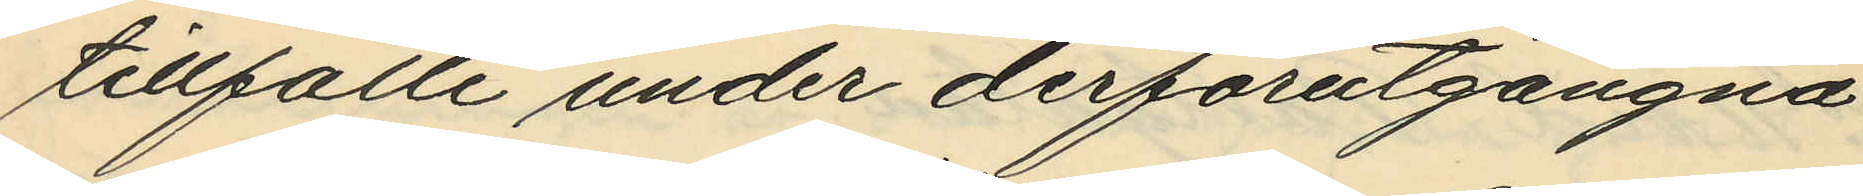tillfälle under derförutgångna
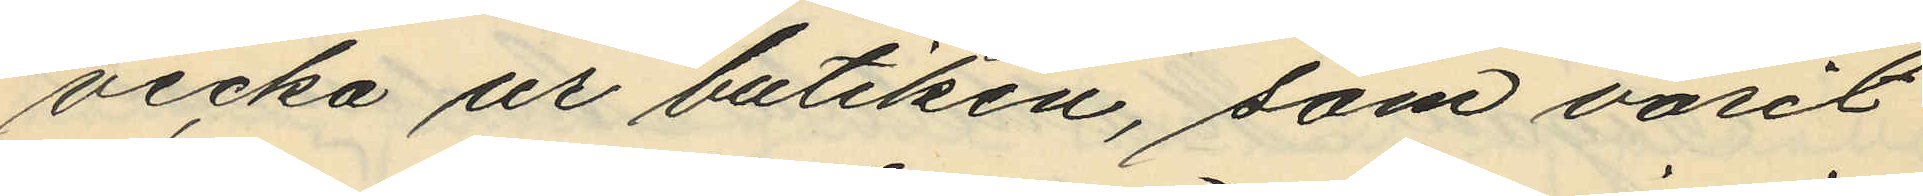vecka ur butiken, som varit
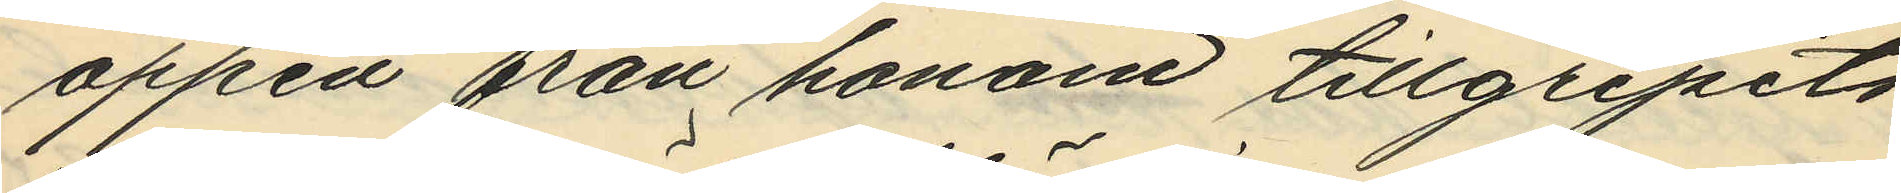öppen från honom tillgripits
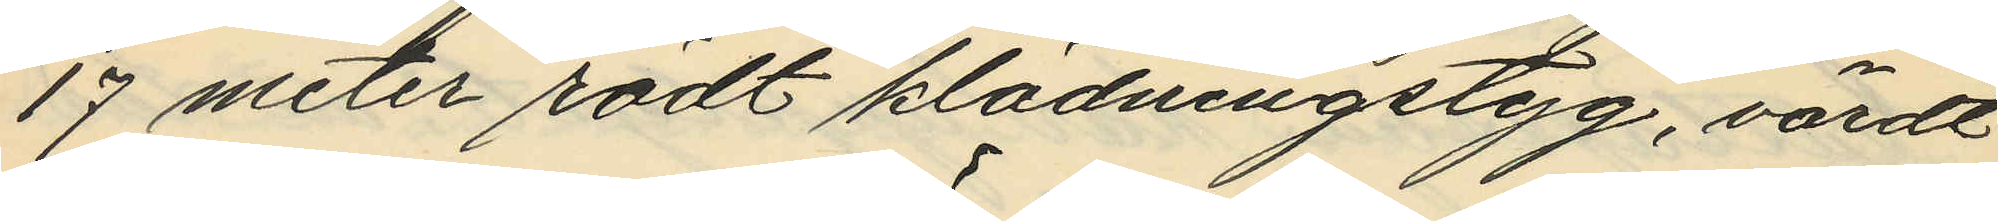17 meter rödt klädningstyg, värdt
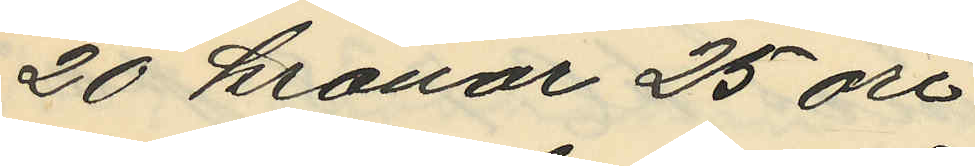20 kronor 25 öre.
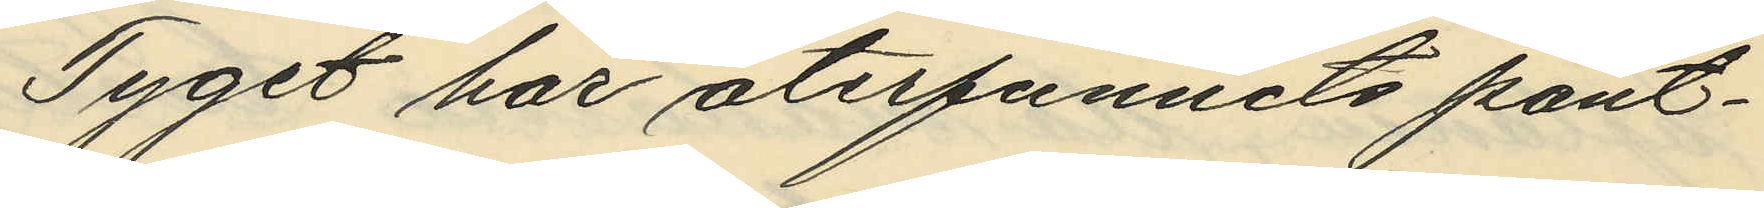Tyget har återfunnits pant¬
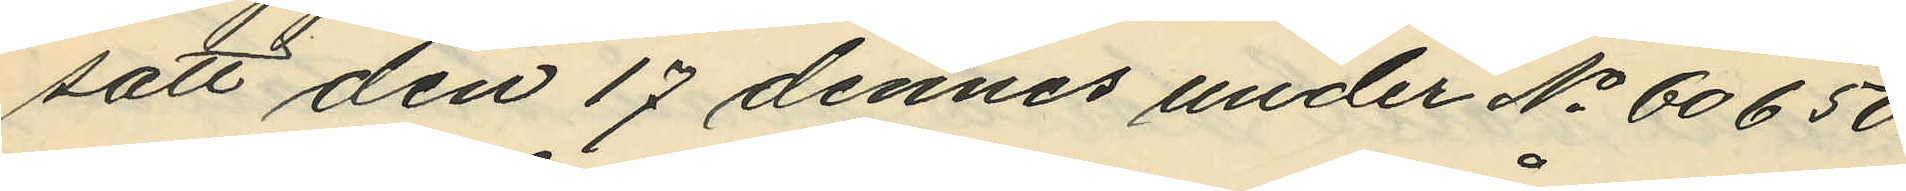satt den 17 dennes under No 60650
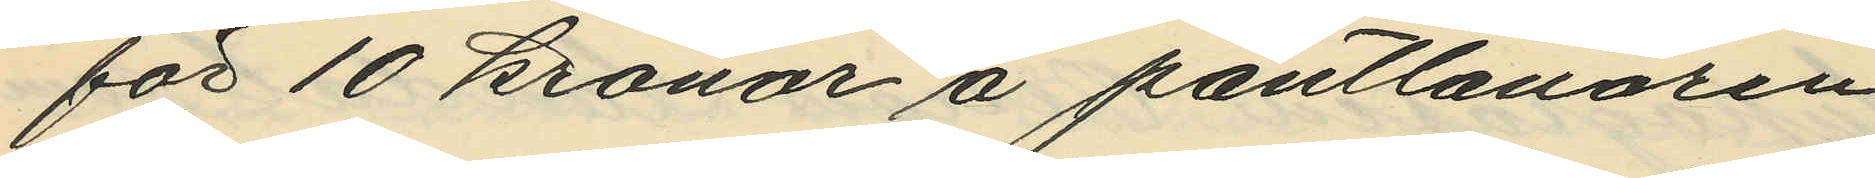för 10 kronor å pantlånaren
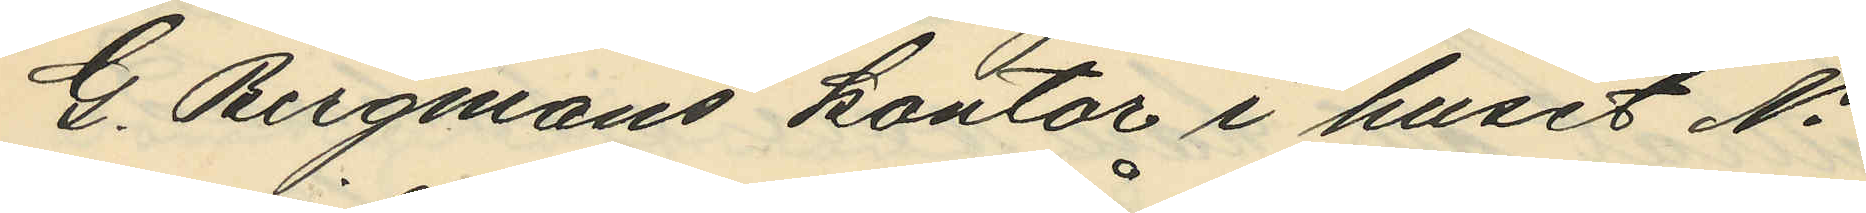G. Bergmans kontor i huset No
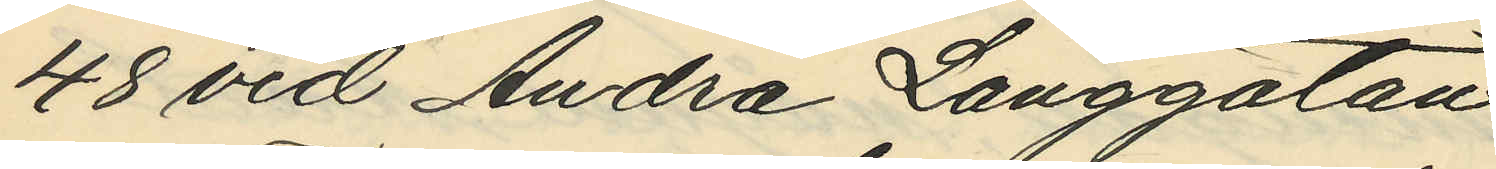48 vid Andra Långgatan.
